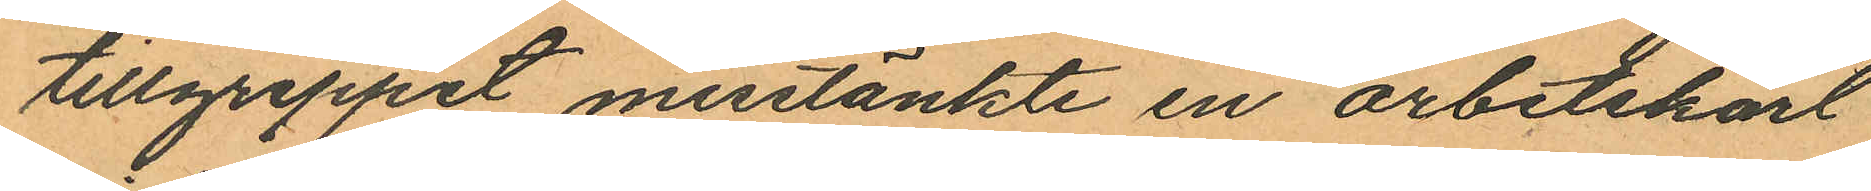tillgreppet misstänkte en arbetskarl
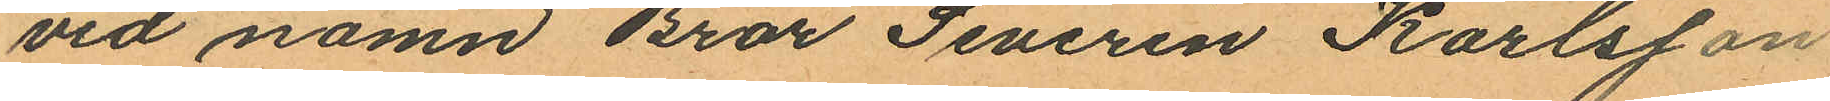vid namn Bror Severin Karlsson
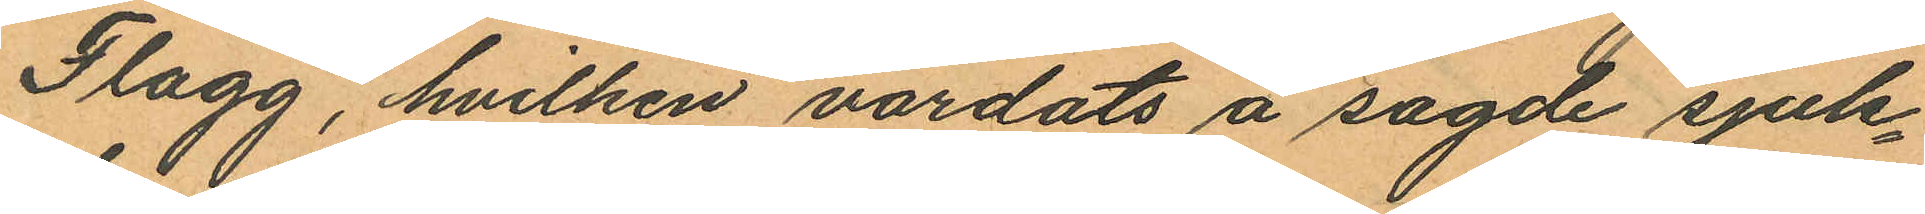Flagg, hvilken vårdats å sagde sjuk¬
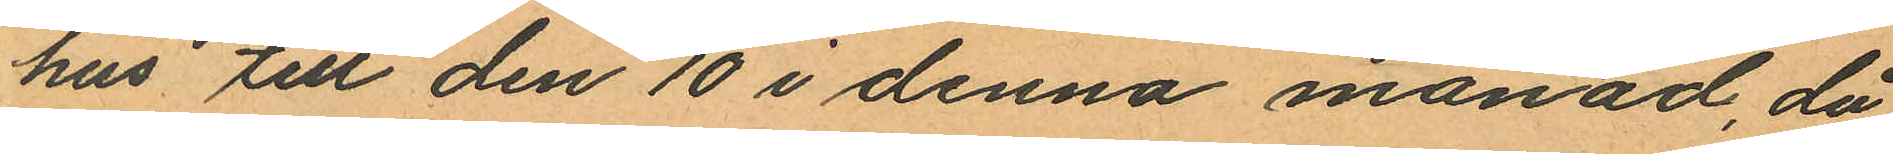hus till den 10 i denna månad, då
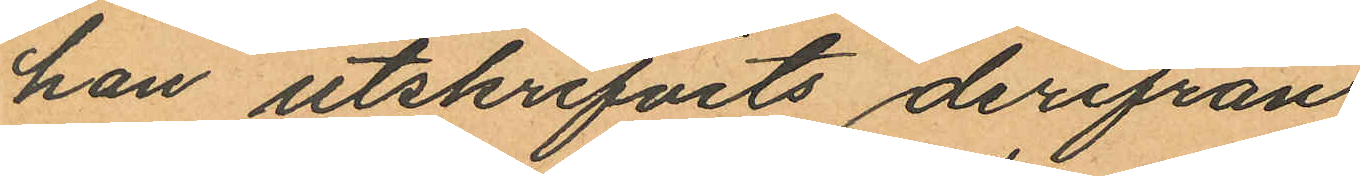han utskrifvits derifrån
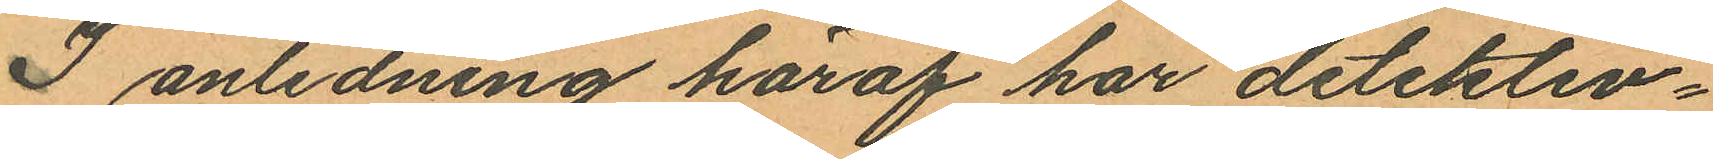I anledning häraf har detektiv¬
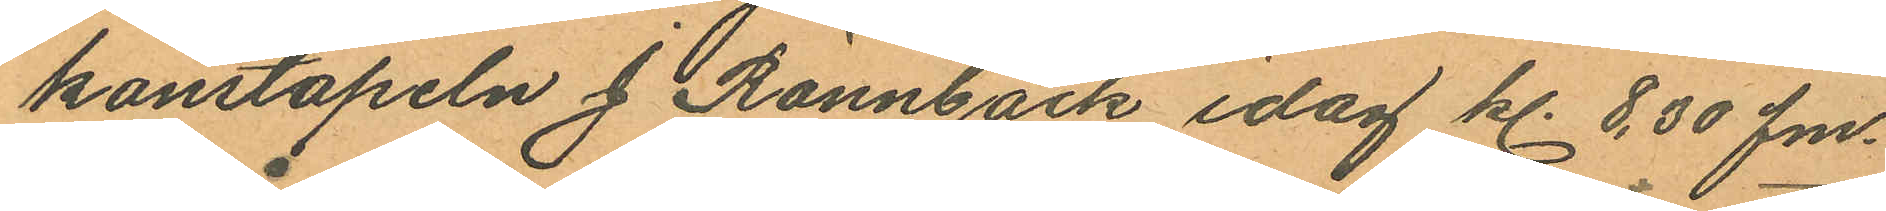konstapeln J. Rönnbäck idag kl. 8,30 fm.
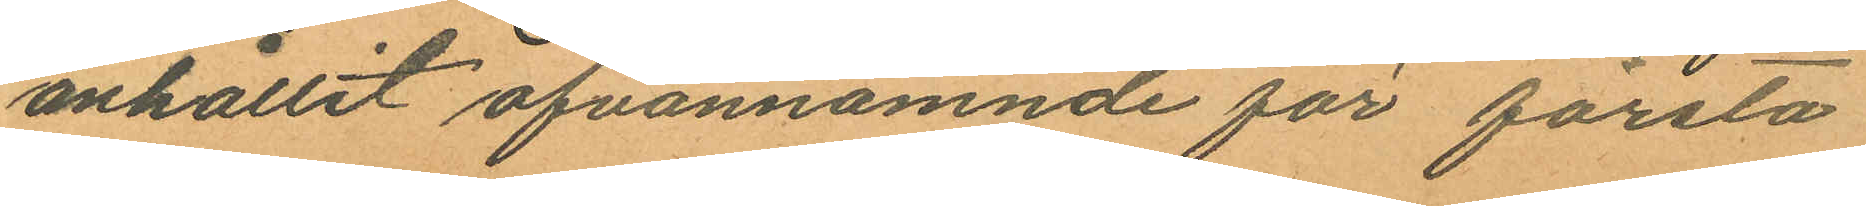anhållit ofvannämnde för första
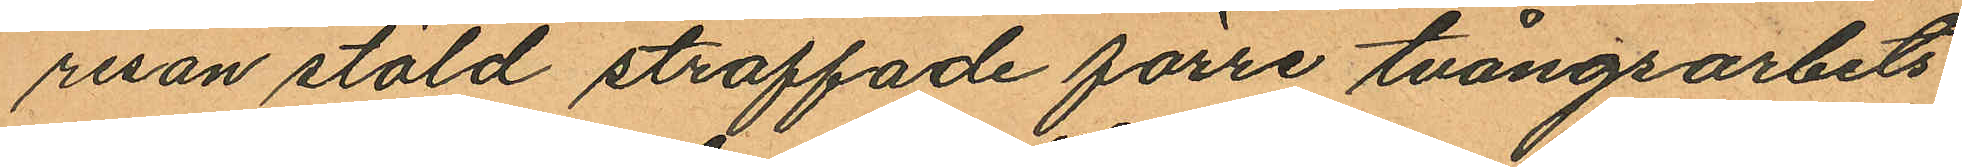resan stöld straffade förre tvångsarbets
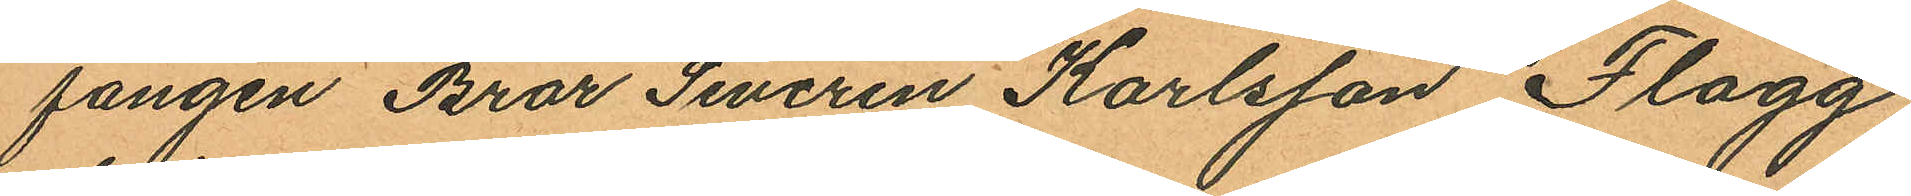fången Bror Severin Karlsson Flagg,
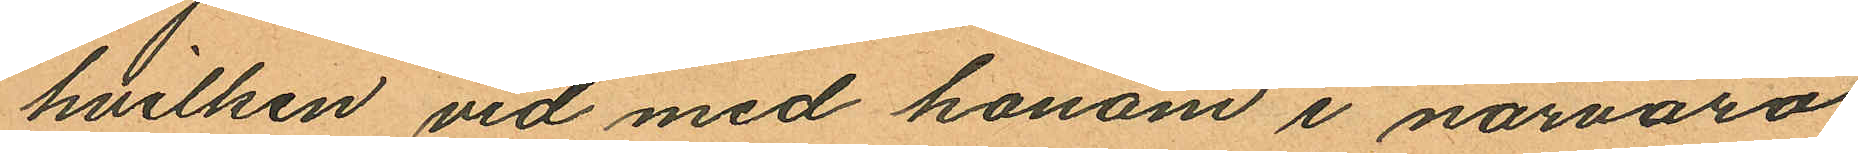hvilken vid med honom i närvaro
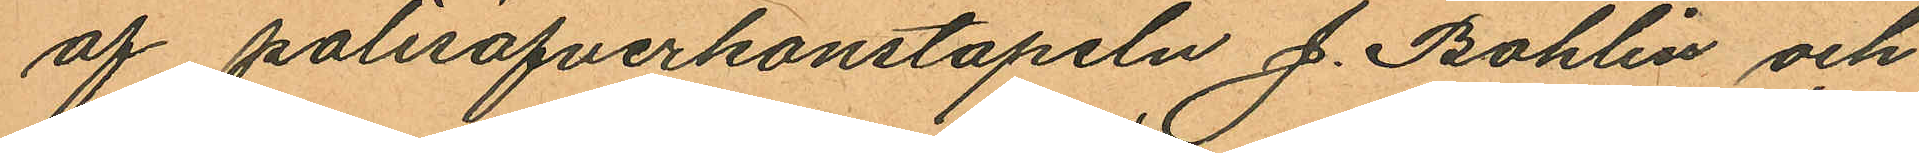af polisöfverkonstapeln J. Bohlin och
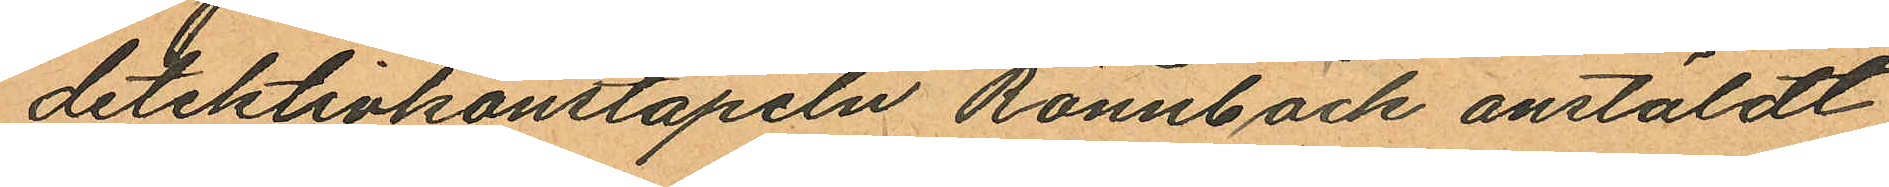detektivkonstapeln Rönnbäck anstäldt
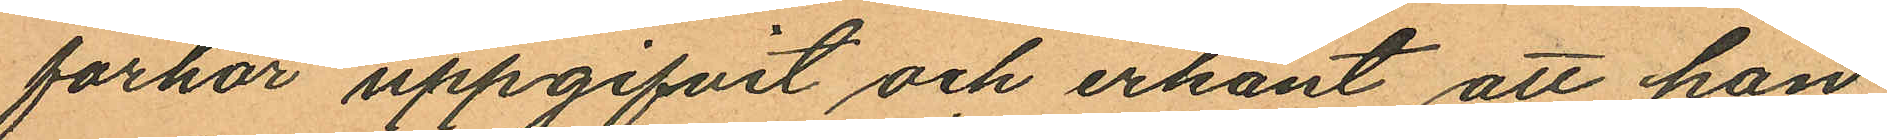förhör uppgifvit och erkänt att han
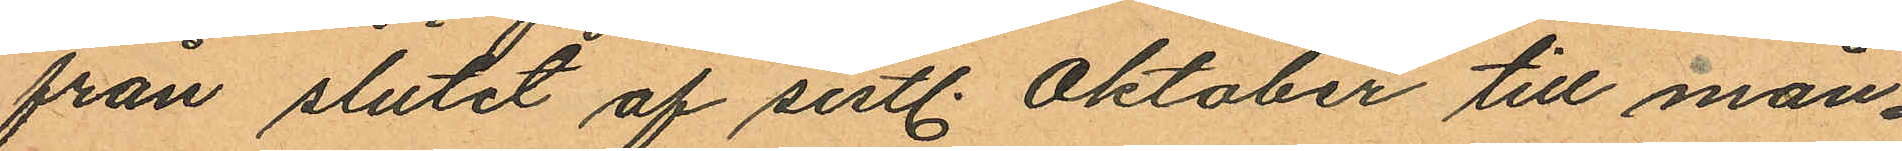från slutet af sistl. Oktober till mån¬
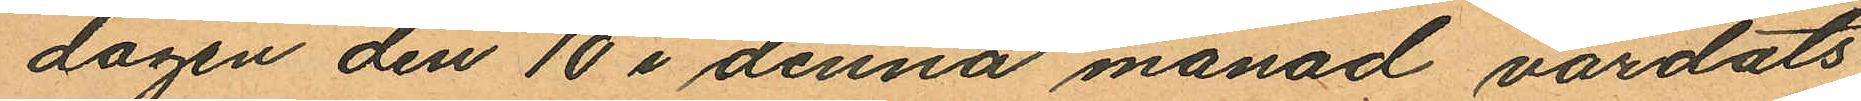dagen den 10 i denna månad vårdats
